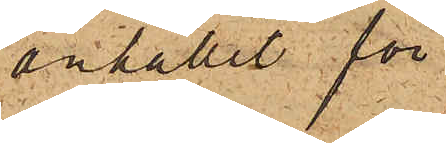anhållit för
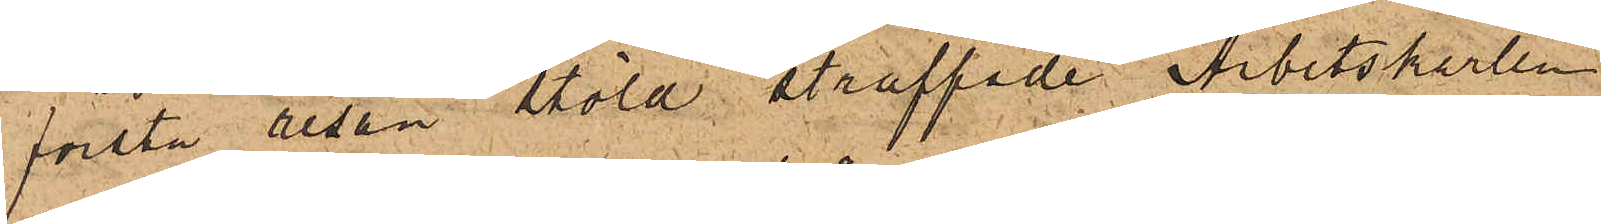första resan stöld straffade Arbetskarlen
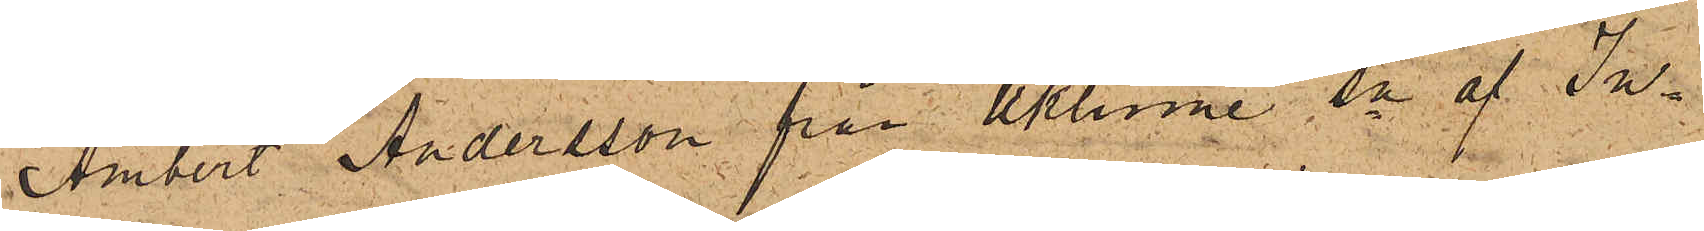Ambert Andersson från Uklume Sn af In¬
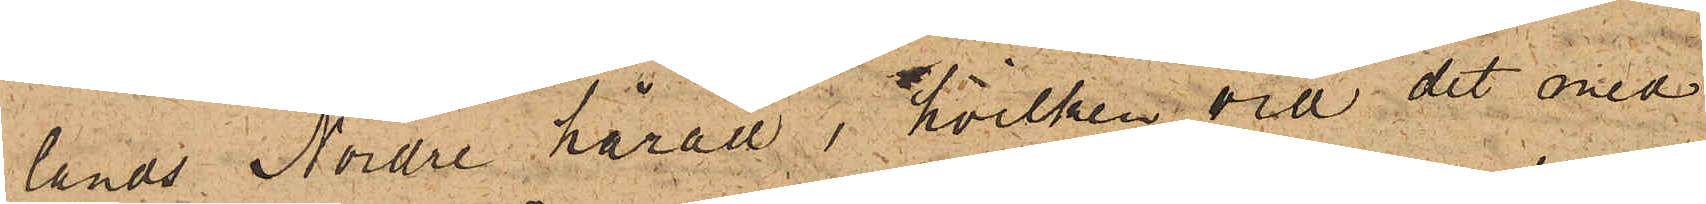lands Nordre härad, hvilken vid det med
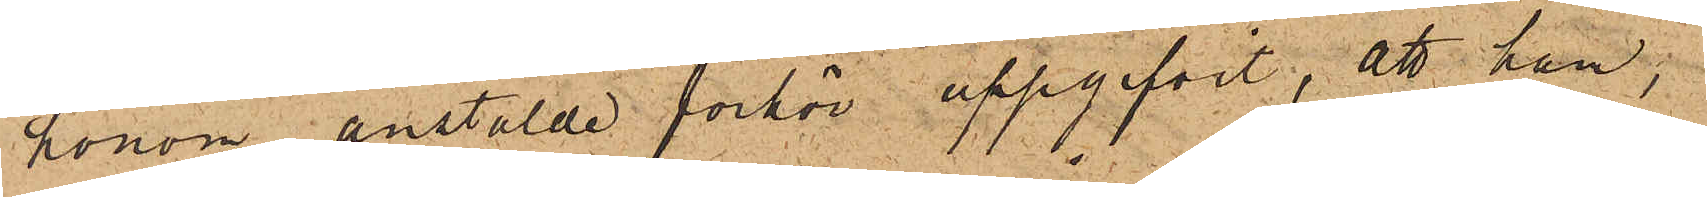honom anstälde förhör uppgifvit, att han,
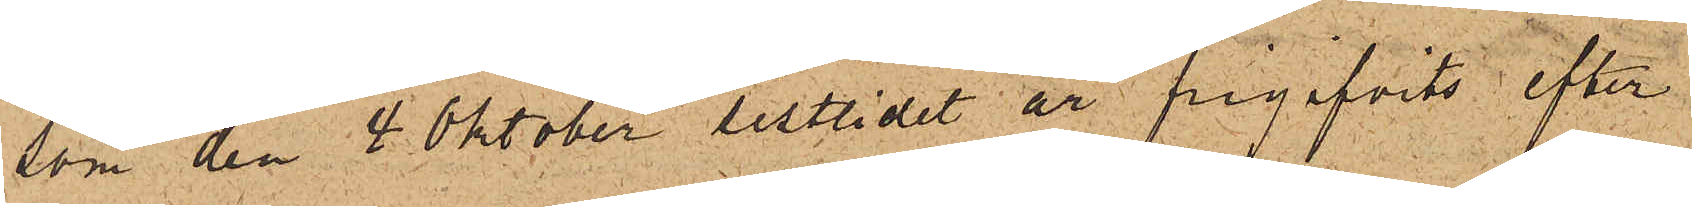som den 4 Oktober sistlidet år frigifvits efter
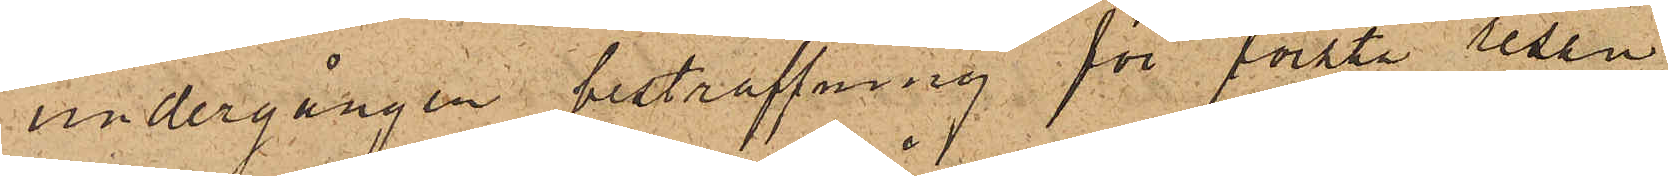undergången bestraffning för första resan
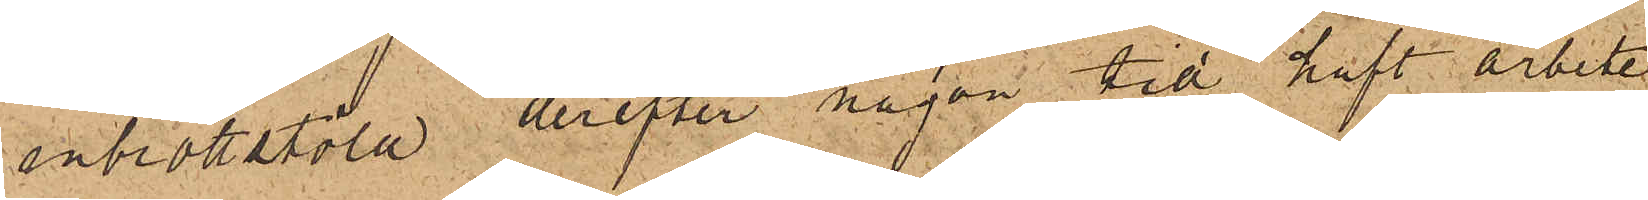inbrottstöld, derefter någon tid haft arbete
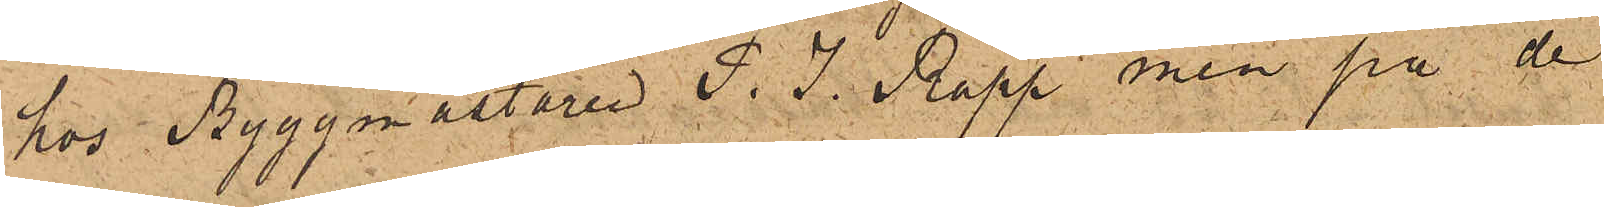hos Byggmästaren P. J. Rapp, men på de
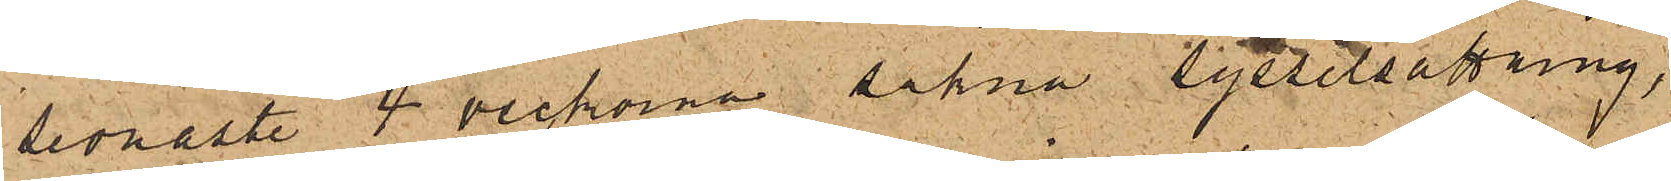sednaste 4 veckorna sakna sysselsättning,
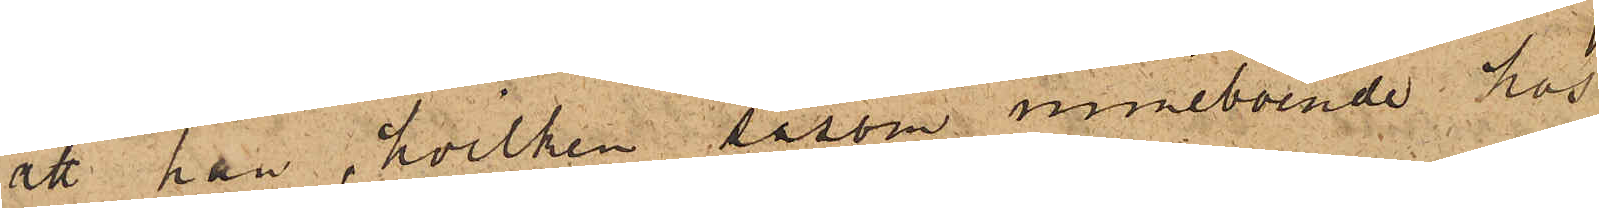att han, hvilken såsom inneboende hos
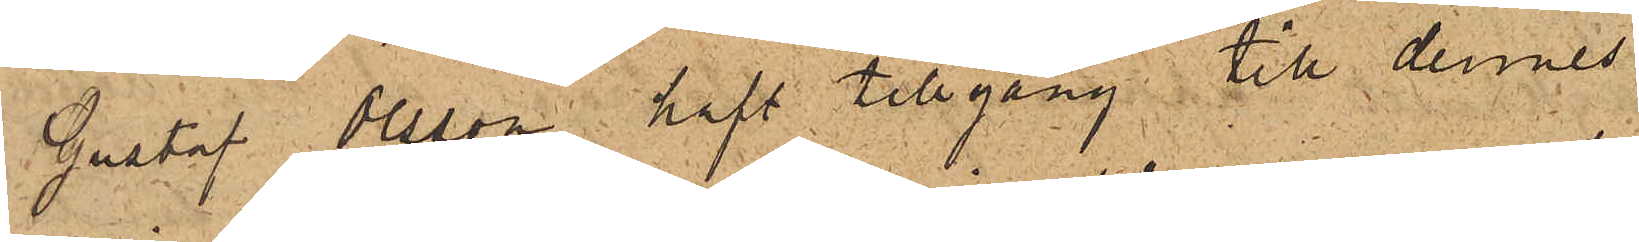Gustaf Olsson haft tillgång till dennes
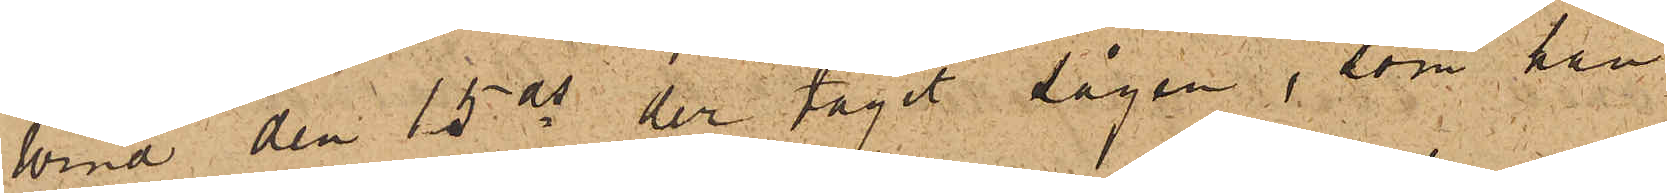Wind den 15 ds der tagit Sågen, som han
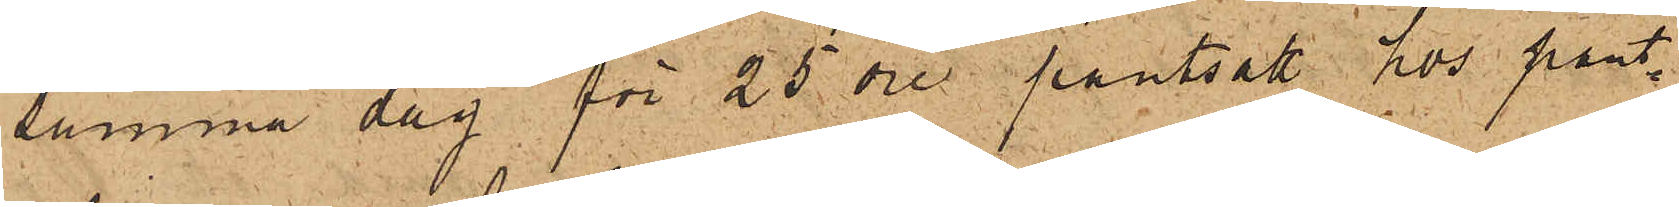samma dag för 25 öre pantsatt hos pant¬
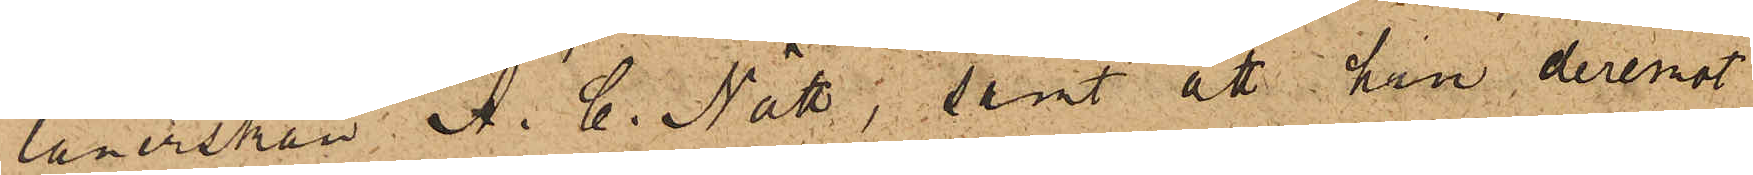lånerskan A. C. Nätt; samt att han deremot
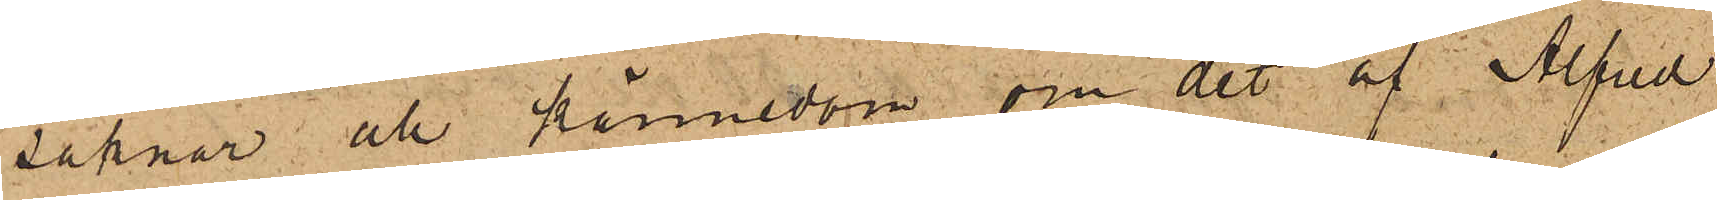saknar all kännedom om det af Alfred
